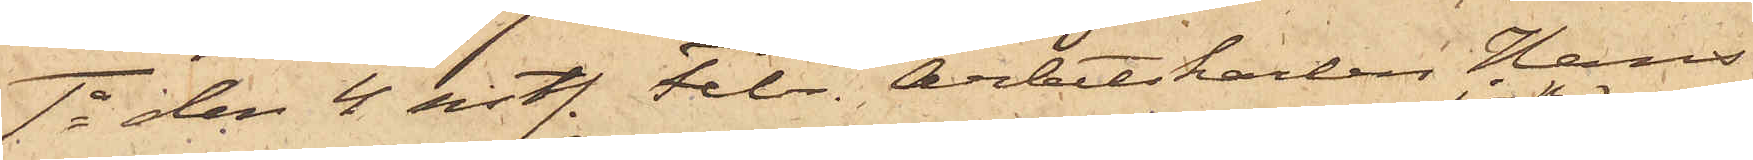1o den 4 sistl. Febr. Arbetskarlen Hans
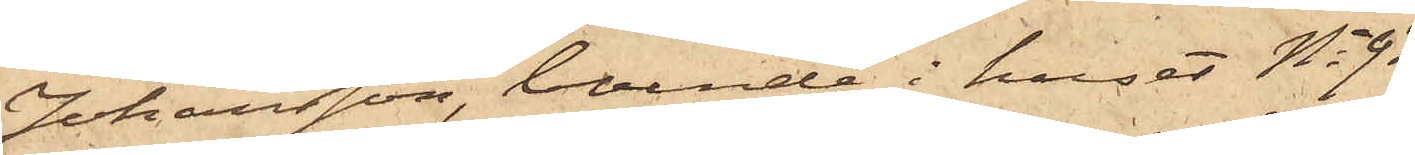Johansson, boende i huset No 93
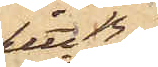Litt B
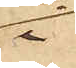i
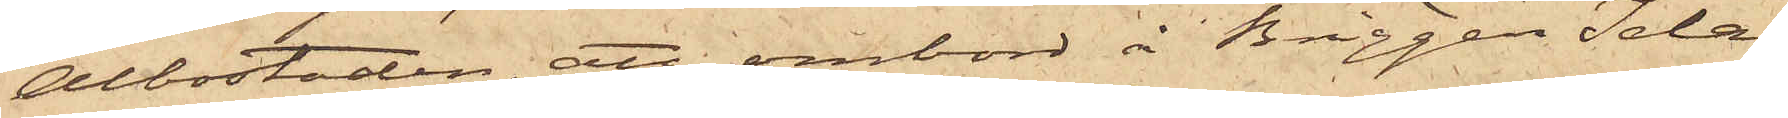Albostaden, att ombord å Briggen Ida,
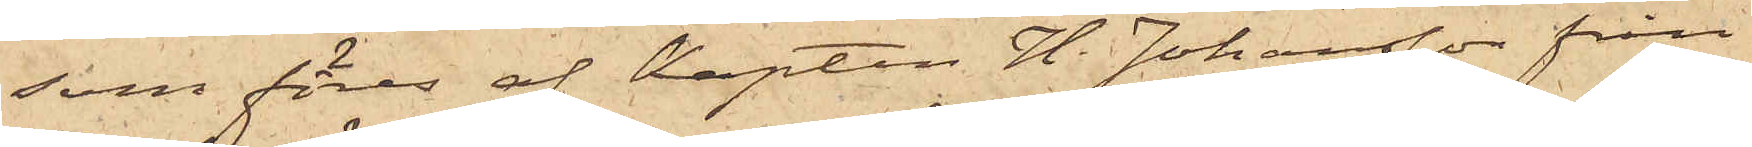som föres af Kapten H. Johansson från
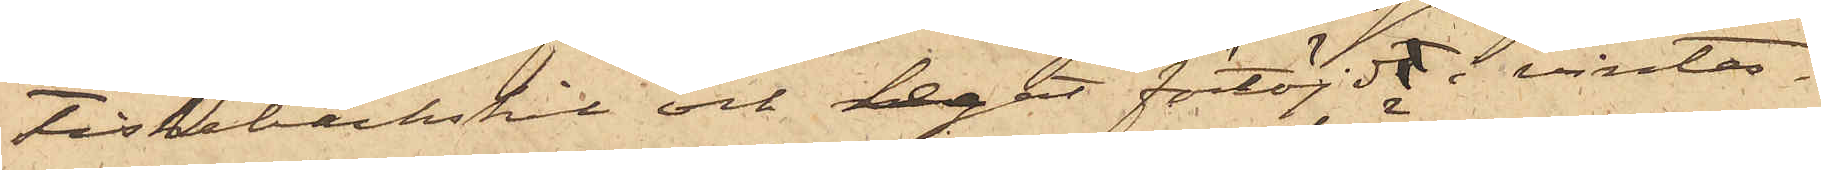Fiskebäckskil och legat förtöjd i vinter¬
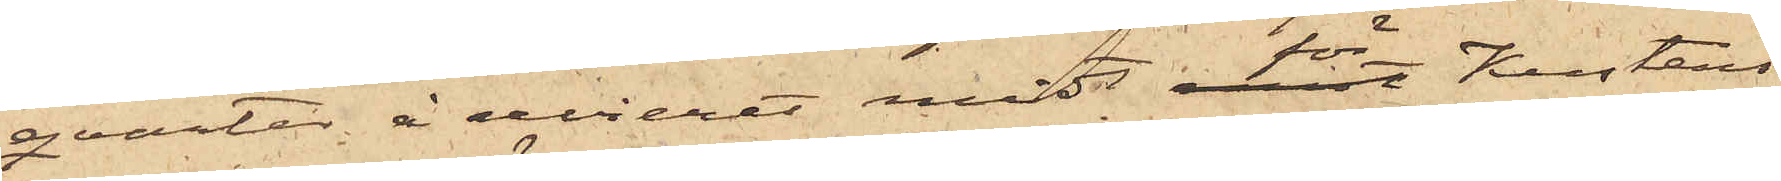qvarter å revieret midt för Kustens
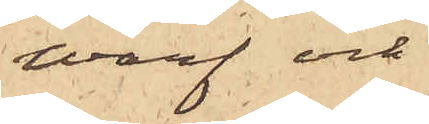Warf och
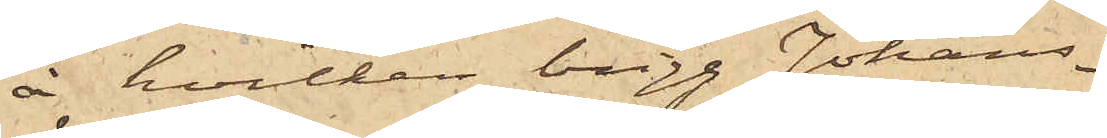å hvilken brigg Johans¬
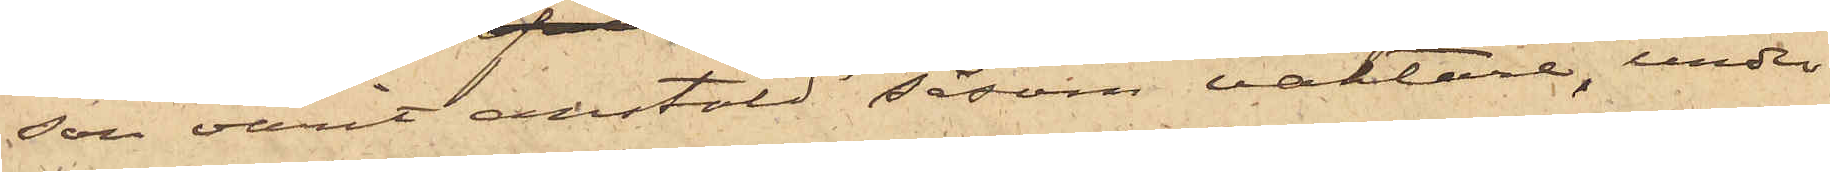son varit anstäld såsom vaktare, under
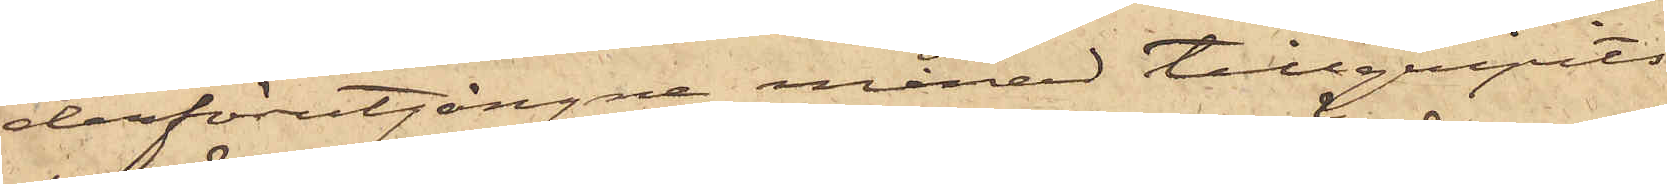derförutgångne månad tillgripits
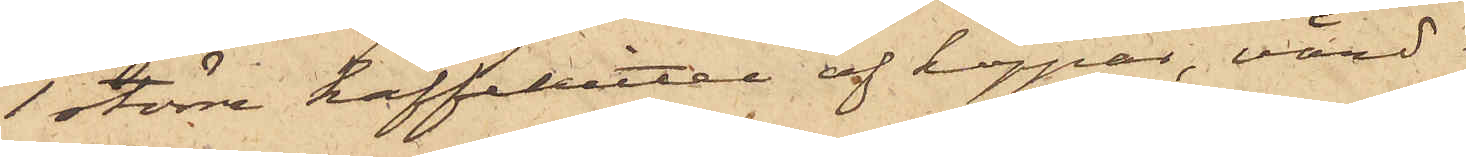1 större kaffekittel af koppar, värd
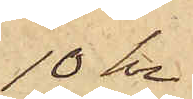10 kr
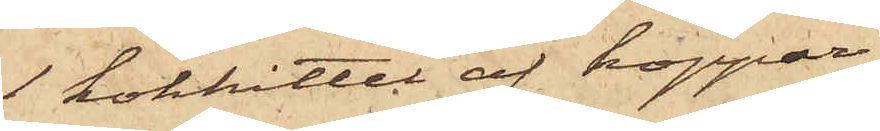1 kokkittel af koppar
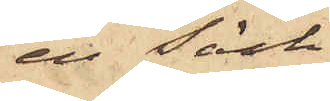en säck
